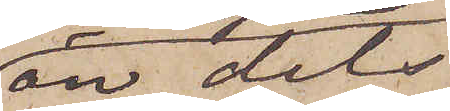än dels
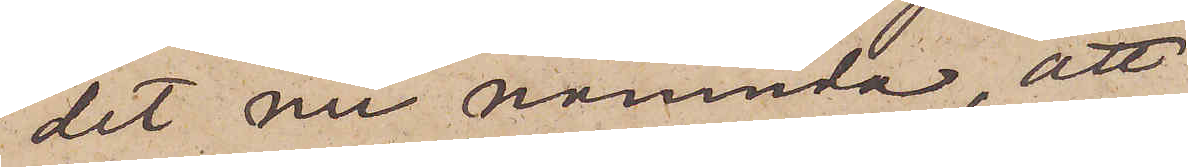det nu nämnda, att
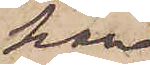han,
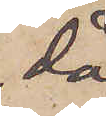då
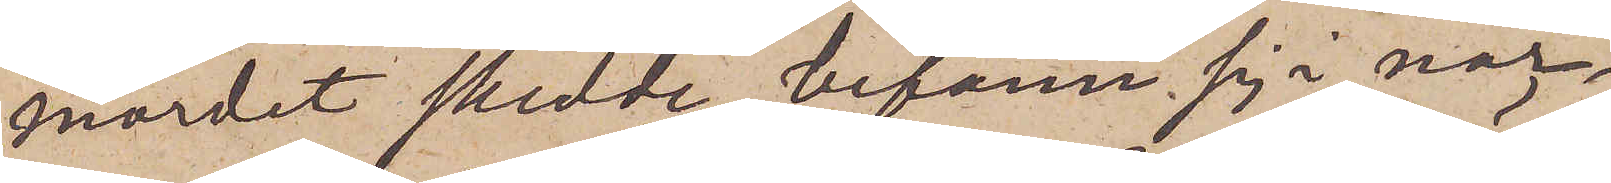mordet skedde, befann sig i när¬
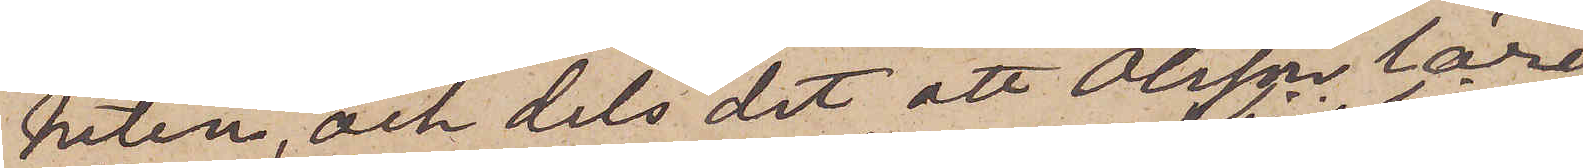heten, och dels det, att Olsson lärer
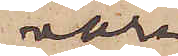vara
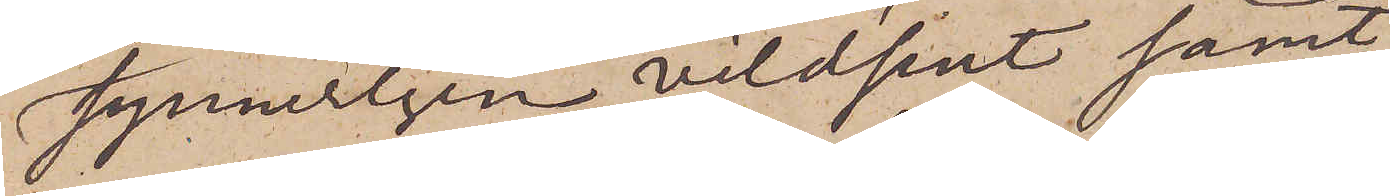synnerligen vildsint samt
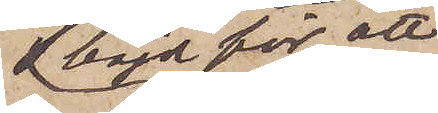böjd för att
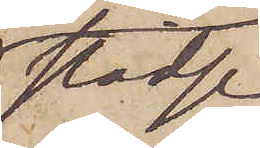städse
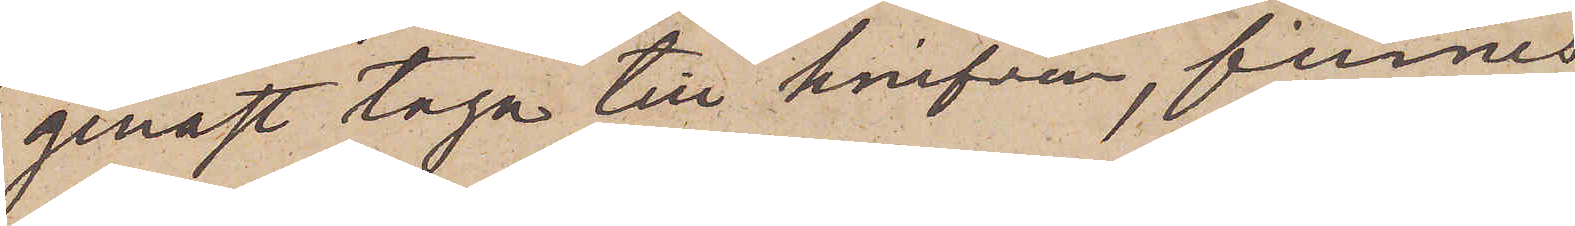genast taga till knifven, finnes
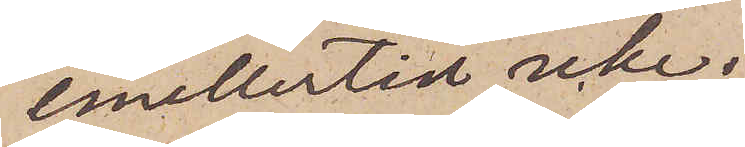emellertid icke.
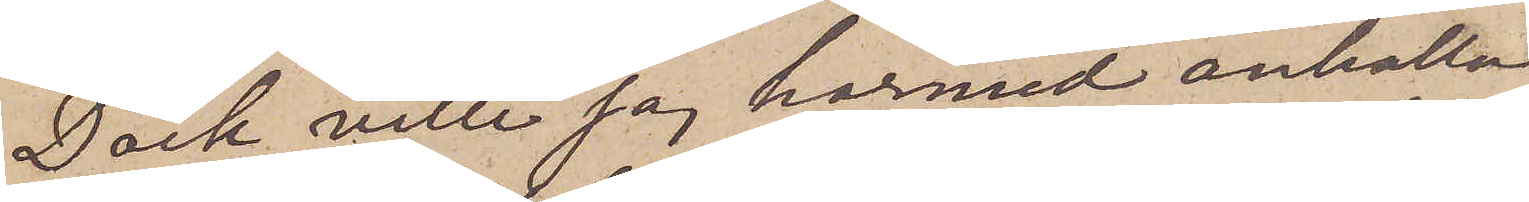Dock ville jag härmed anhålla
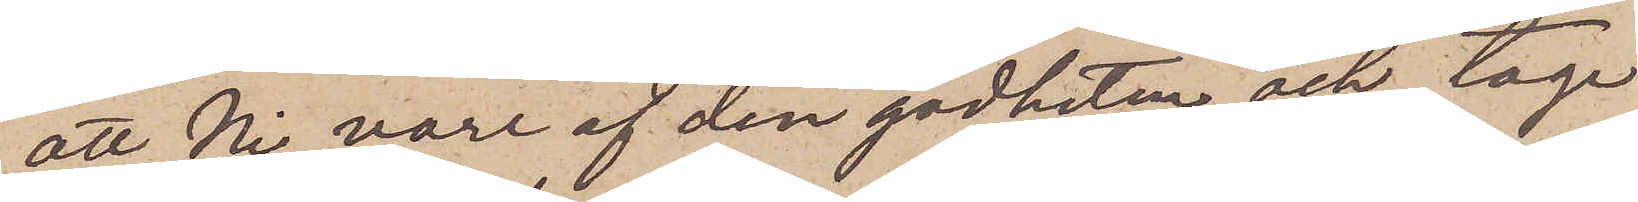att Ni vore af den godheten och tage
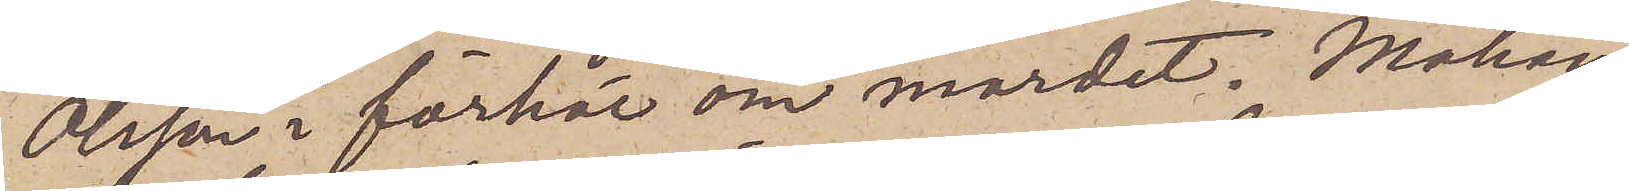Olsson i förhör om mordet. Måhän¬
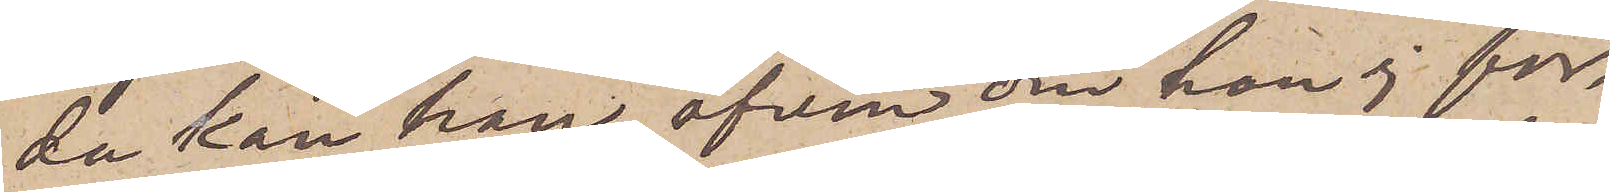da kan han, äfven om han ej för¬
